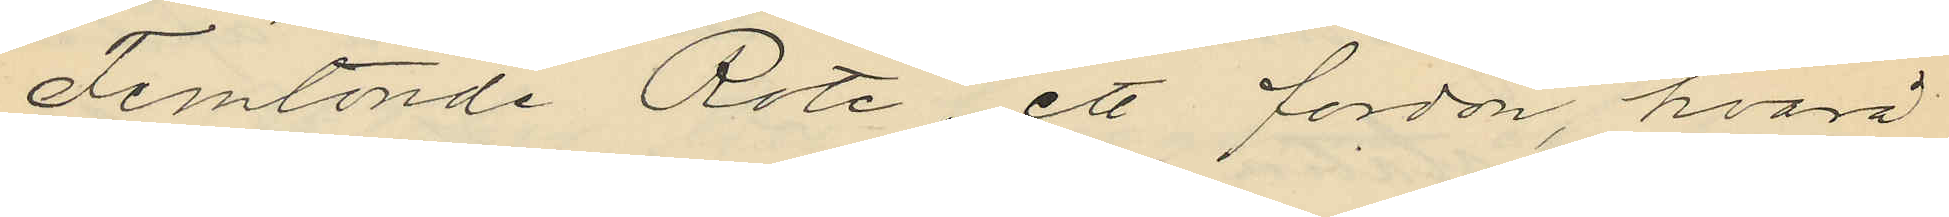Femtonde Rote, ett fordon, hvarå
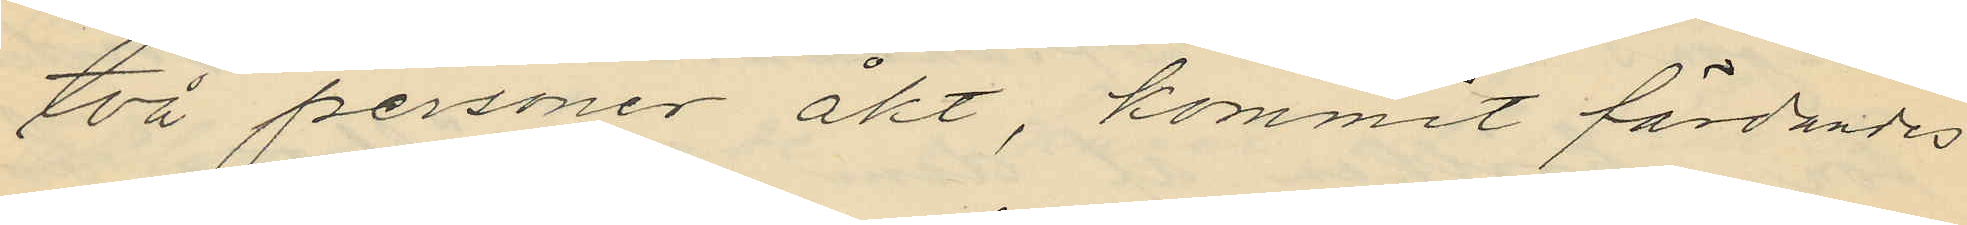två personer åkt, kommit färdandes
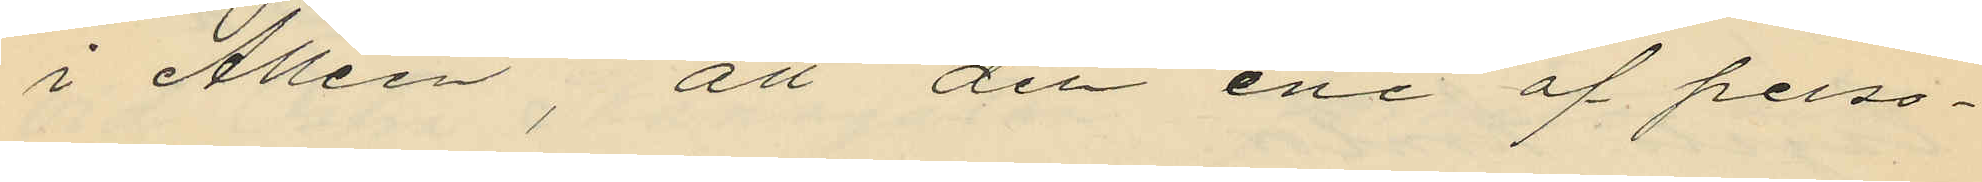i Alléen, att den ene af perso¬
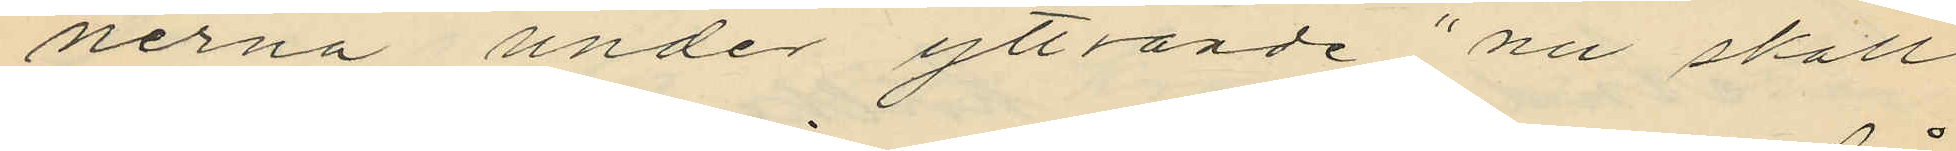nerna under yttrande "nu skall
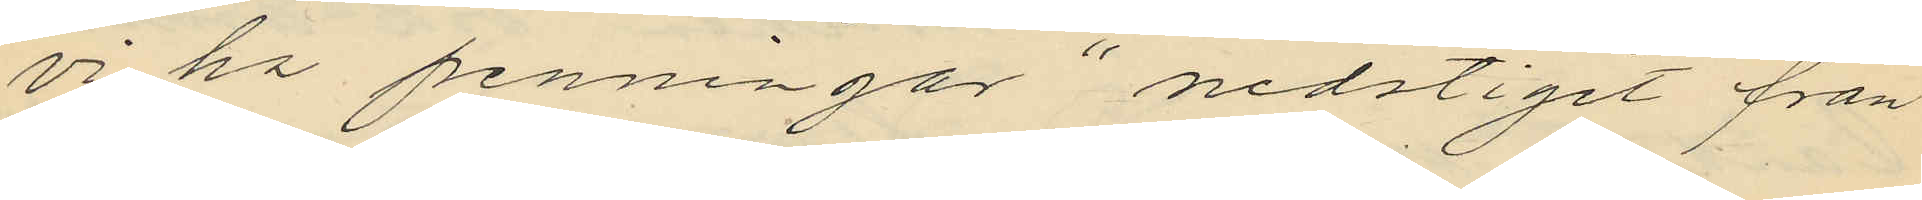vi ha penningar" nedstigit från
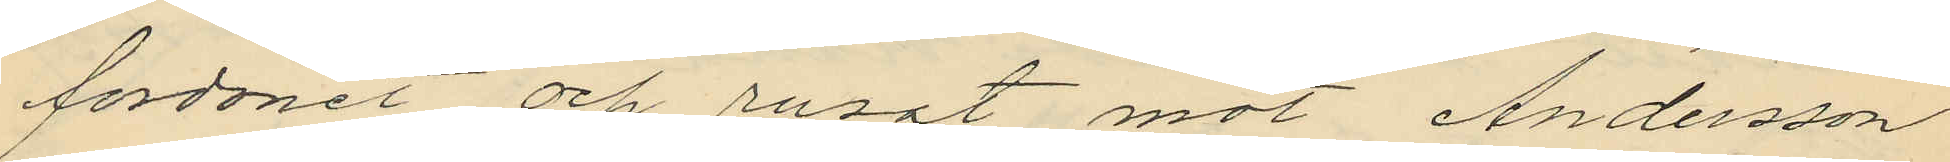fordonet och rusat mot Andersson
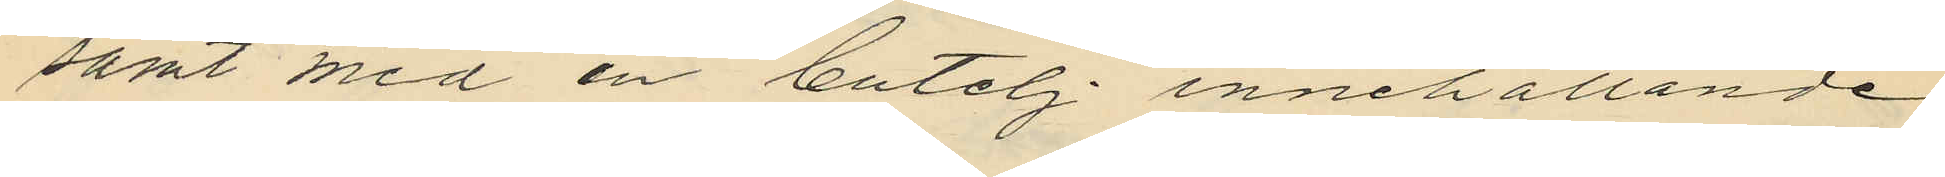samt med en butelj innehållande
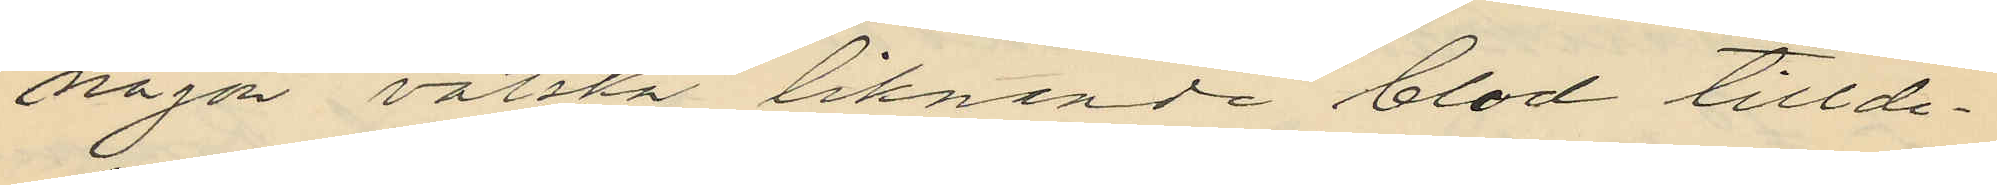någon vätska liknande blod tillde¬
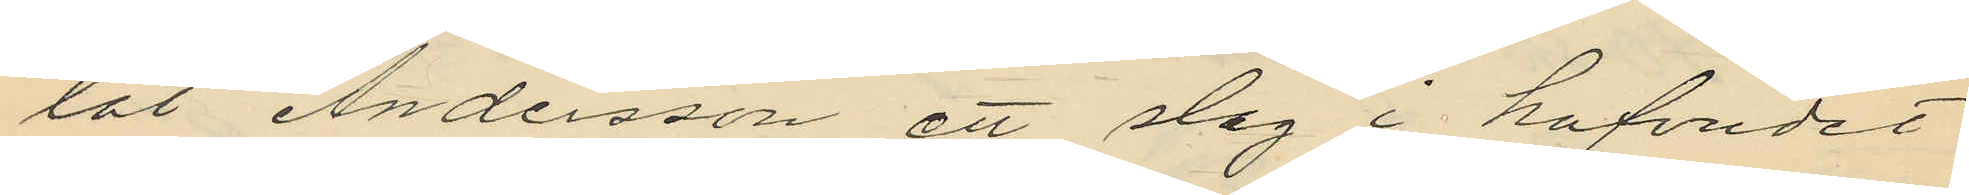lat Andersson ett slag i hufvudet
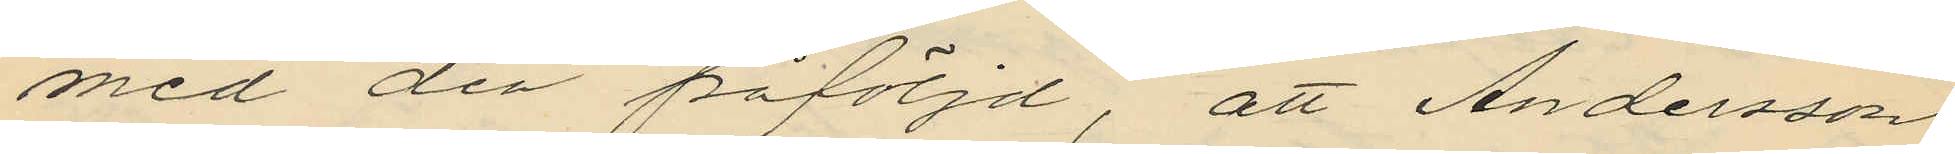med den påföljd, att Andersson
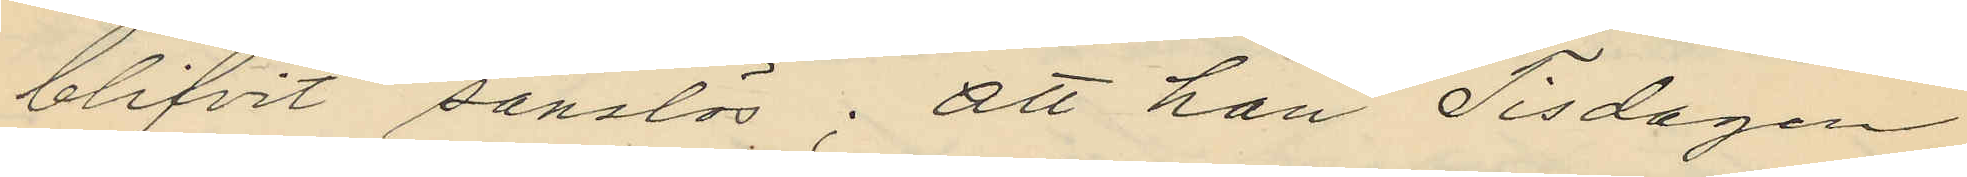blifvit sanslös; att han Tisdagen
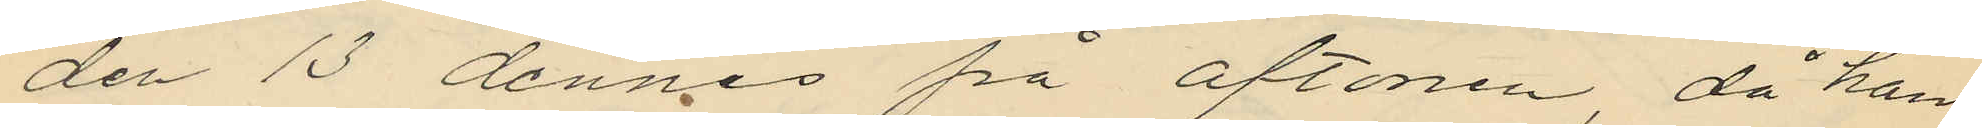den 13 dennes på aftonen, då han
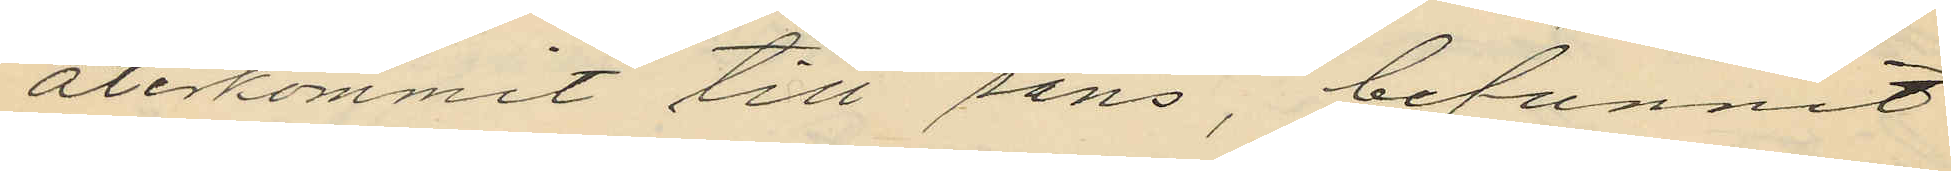återkommit till sans, befunnit
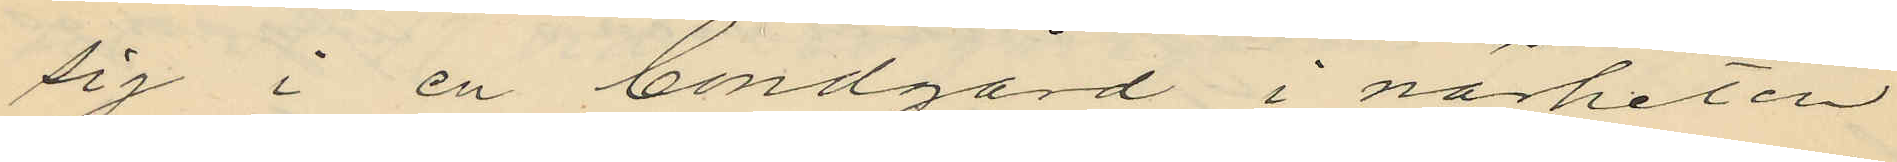sig i en bondgård i närheten
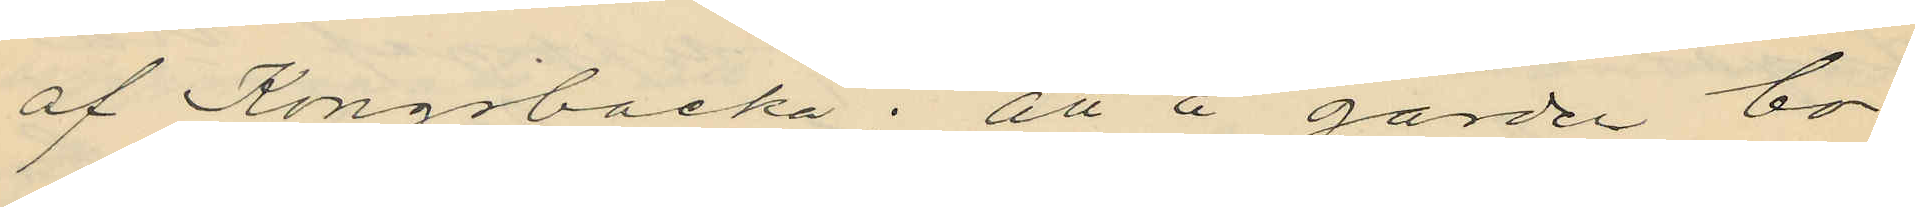af Kongsbacka; att å gården bo¬
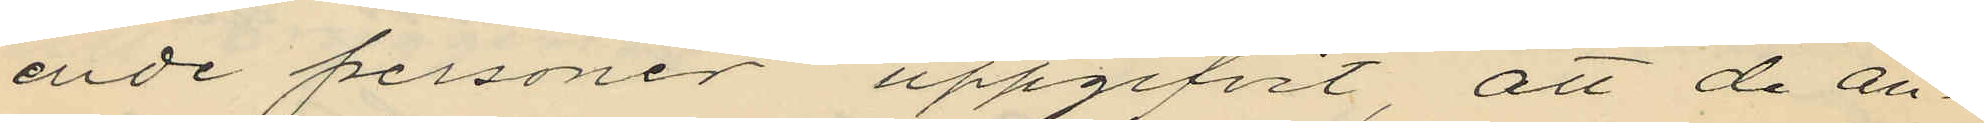ende personer uppgifvit, att de an¬
